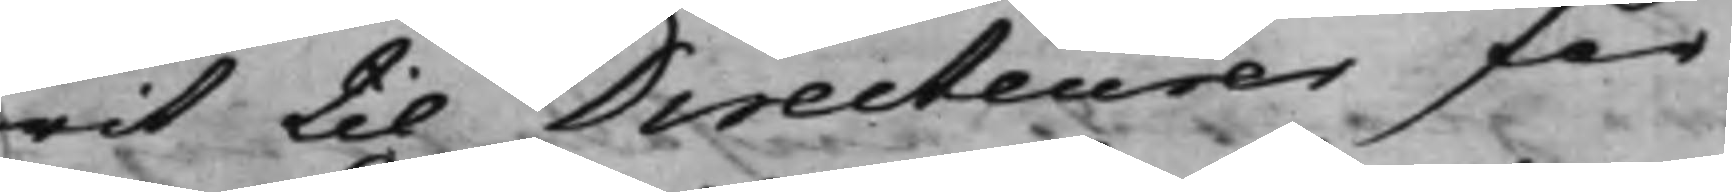rit til Directeurer för
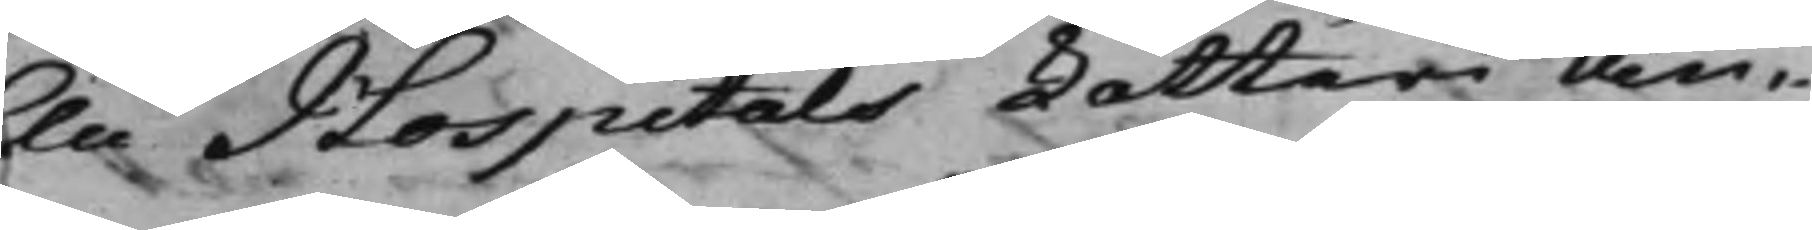lu Hospitals Lotteri an¬
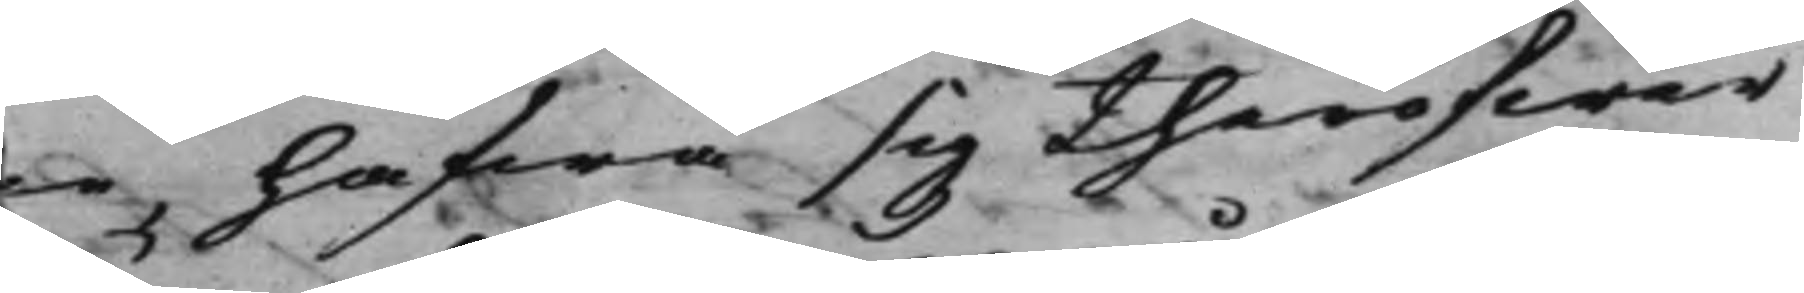ne, hafwa sig theröfwer
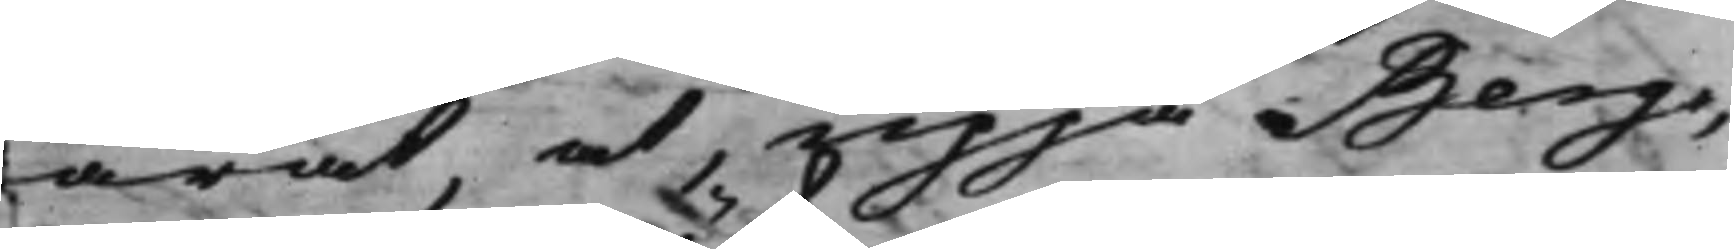ärat, at, uppå Berg¬
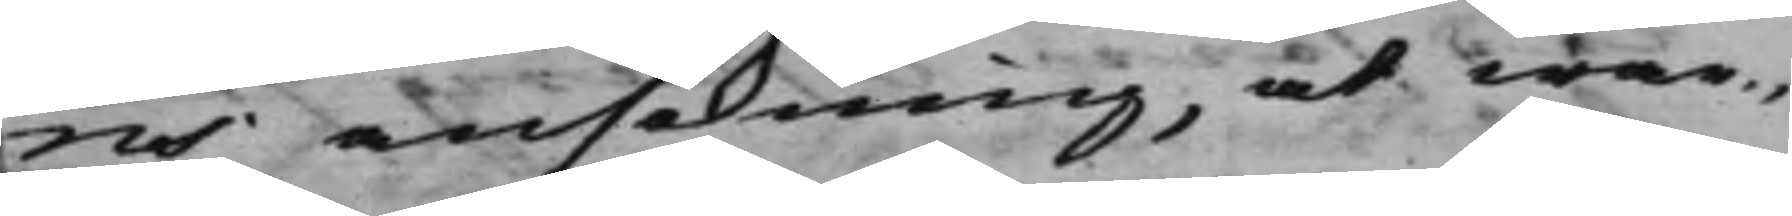ms ansökning, at war¬
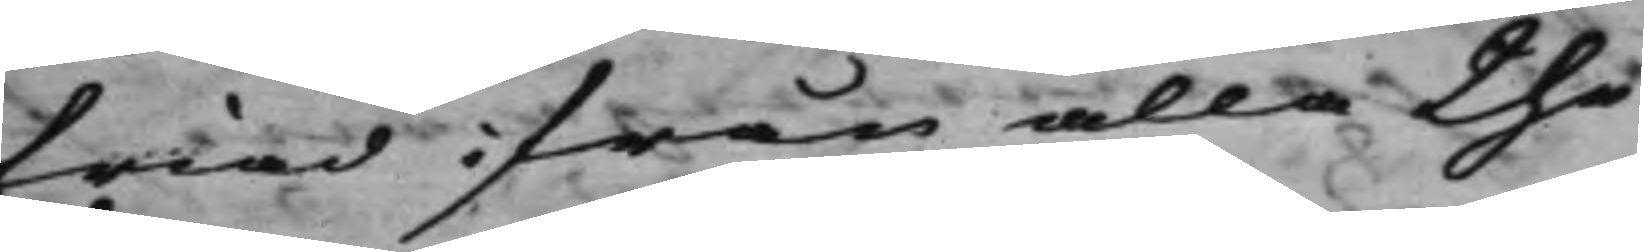friad ifrån alla the
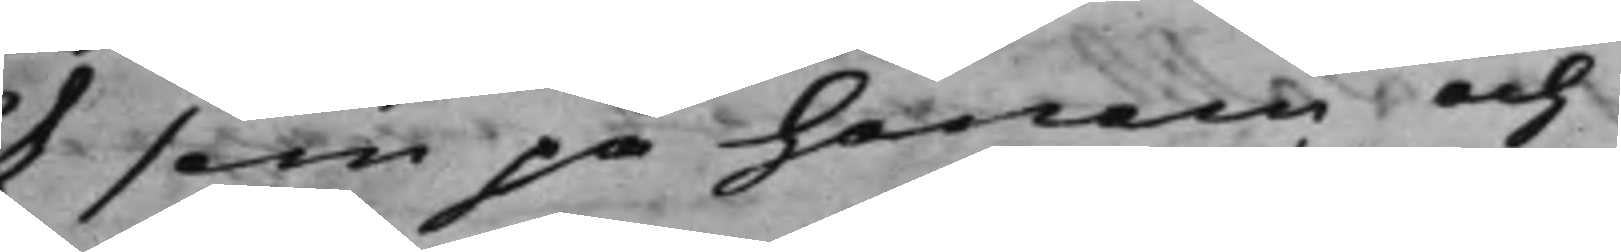ål som på honom och
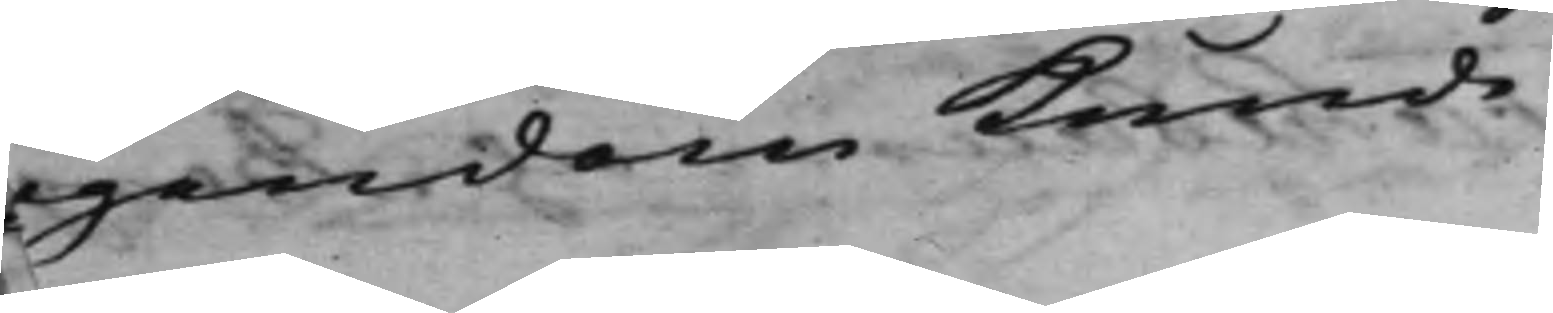egendom kunde
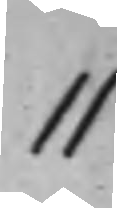11
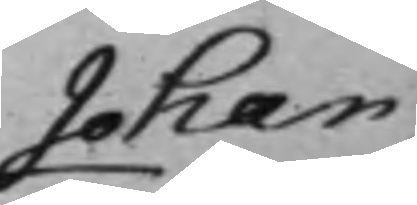Johan
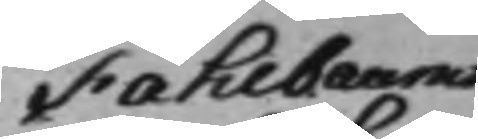Fahlbaums
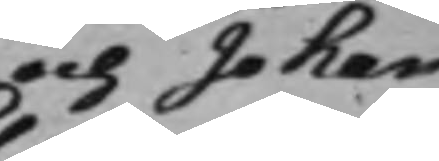och Johan
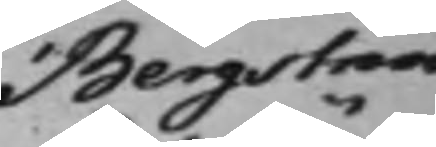Bergströms
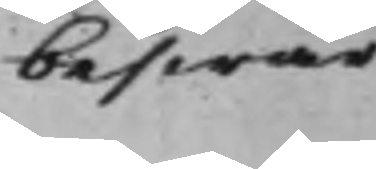beswär
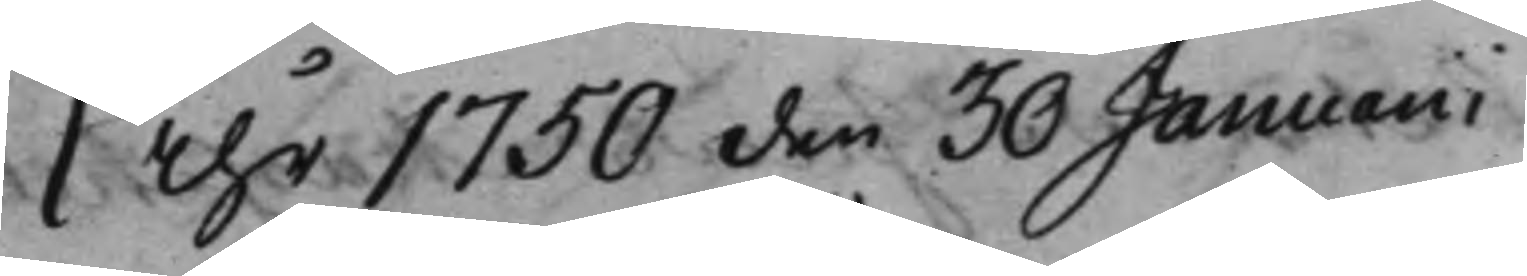Åhr 1750 den 30 Januarii
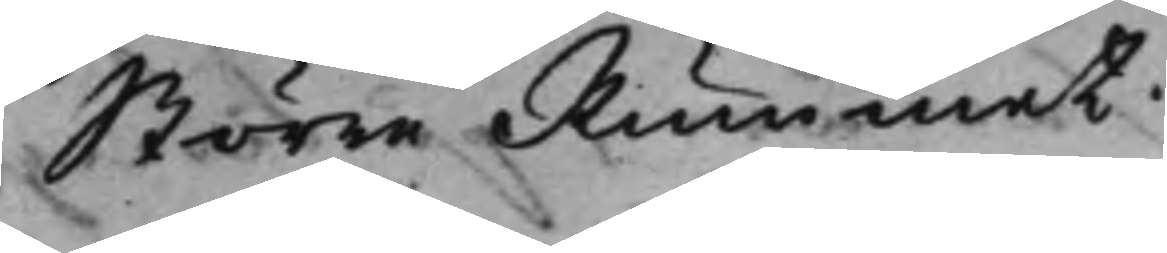Större Rummet.
